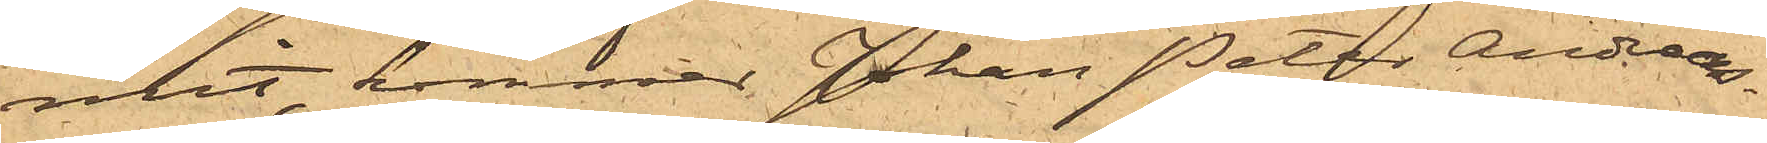mit, kommer Johan Peter Andreas¬
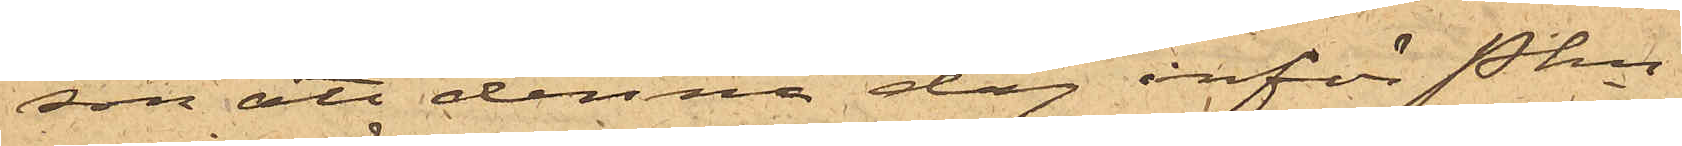son att denna dag inför Pkn
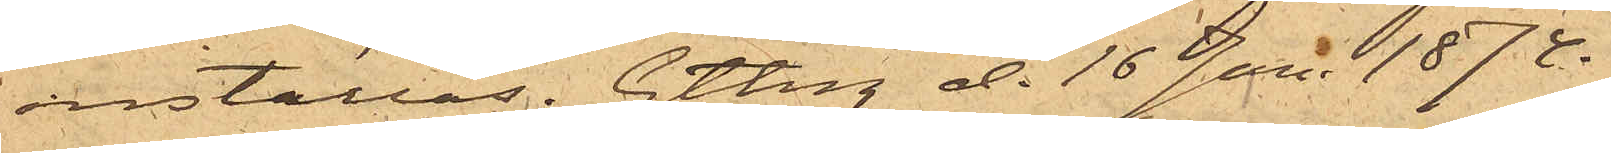inställas. Gtbrg d. 16 Jan. 1874.
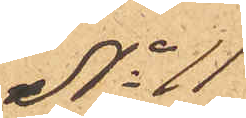No 11
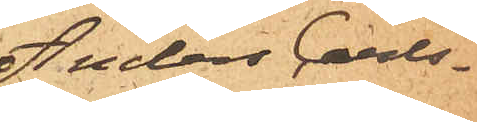Anders Carls¬
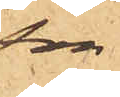son
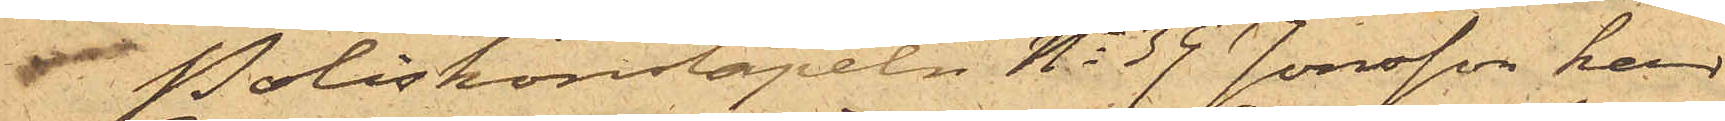Poliskonstapeln No 39 Jonsson har
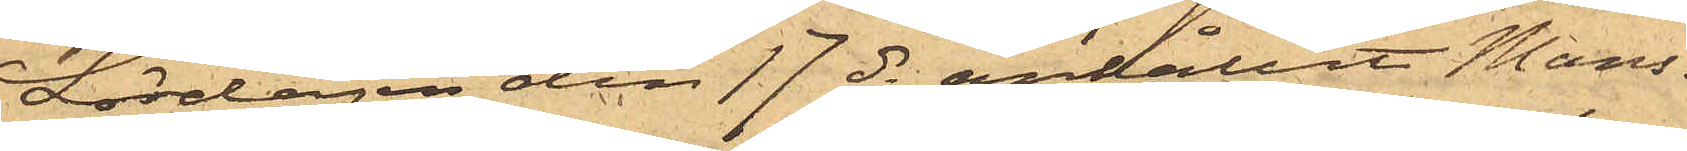Lördagen den 17 ds anhållit Mans¬
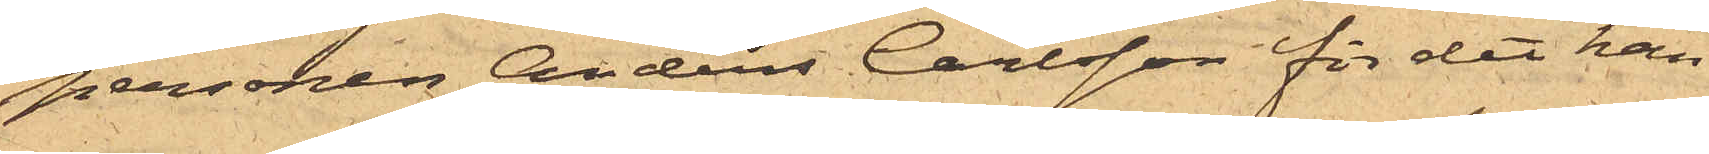personen Anders Carlsson för det han
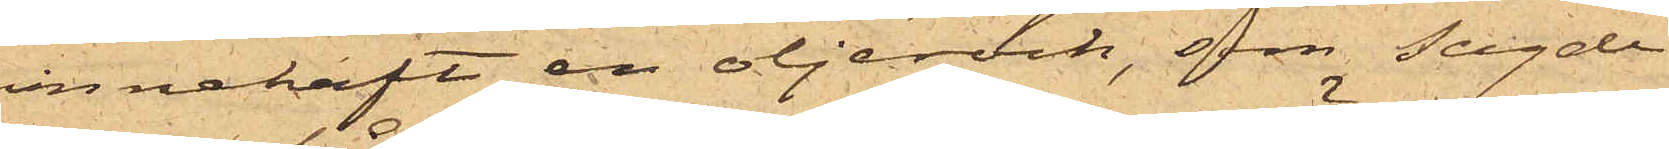innehaft en oljerock, som sagde
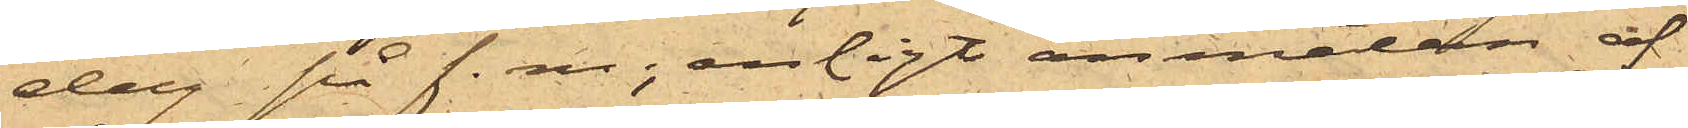dag på f. m., enligt anmälan af
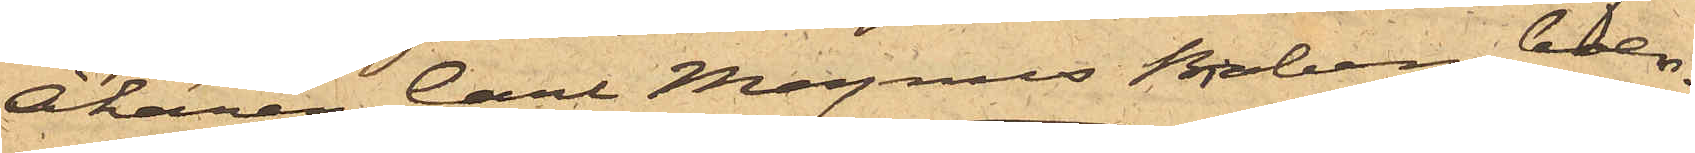Åkaren Carl Magnus Broberg, boen¬
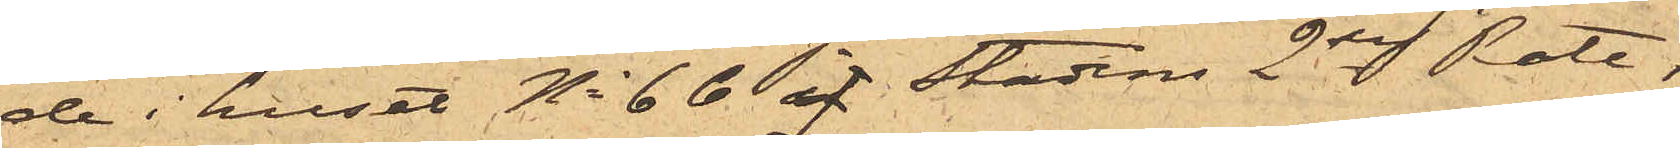de i huset No 66 af Stadens 2dre Rote,
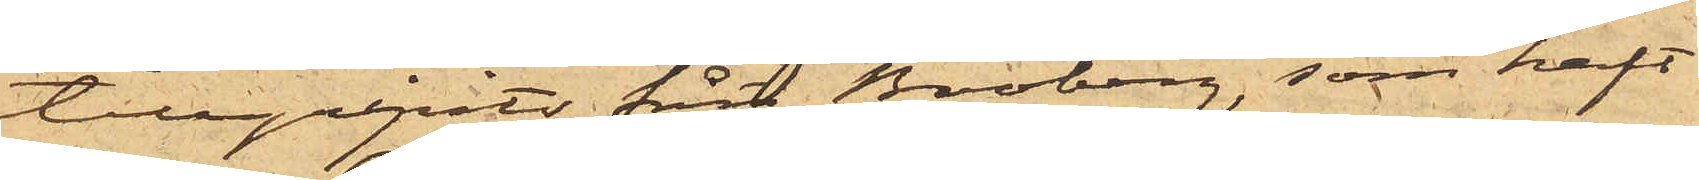tillgripits från Broberg, som haft
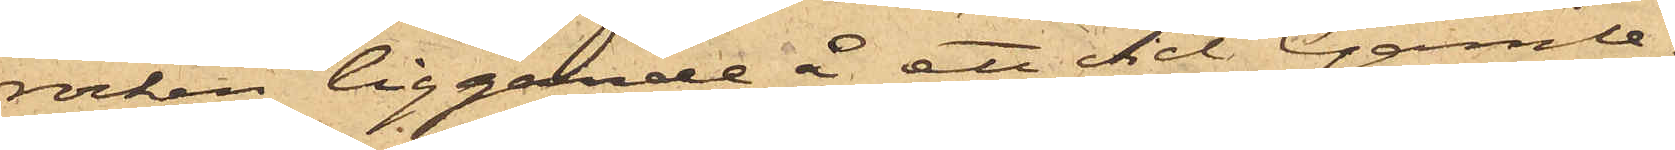rocken liggande å ett vid Gamle¬
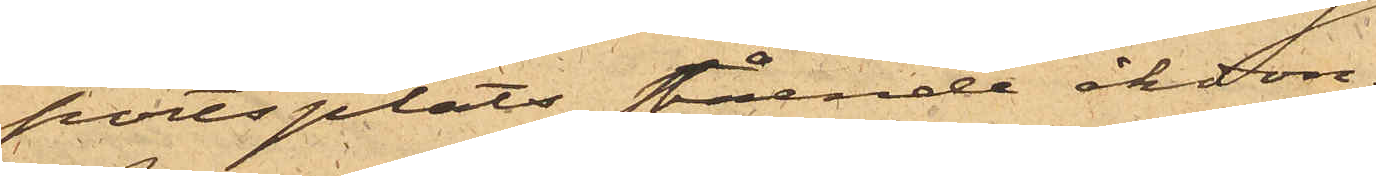portsplats stående åkdon.
